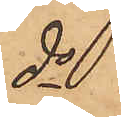do
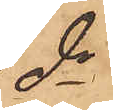do
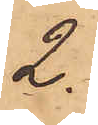2.
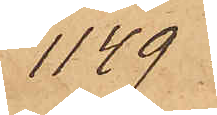1149
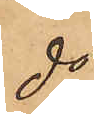do
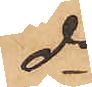do
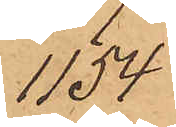1154
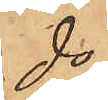do
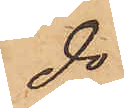do
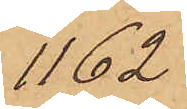1162
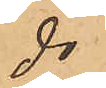do
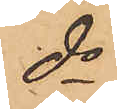do
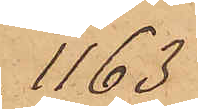1163
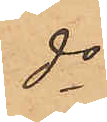do
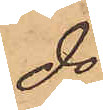do
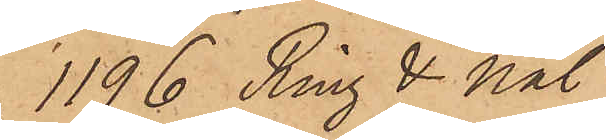1196 Ring & nål
